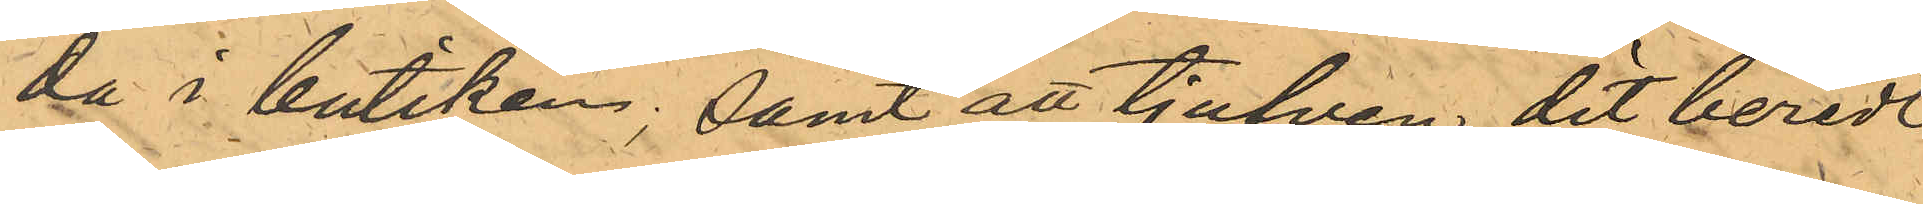da i butiken; samt att tjufven dit beredt
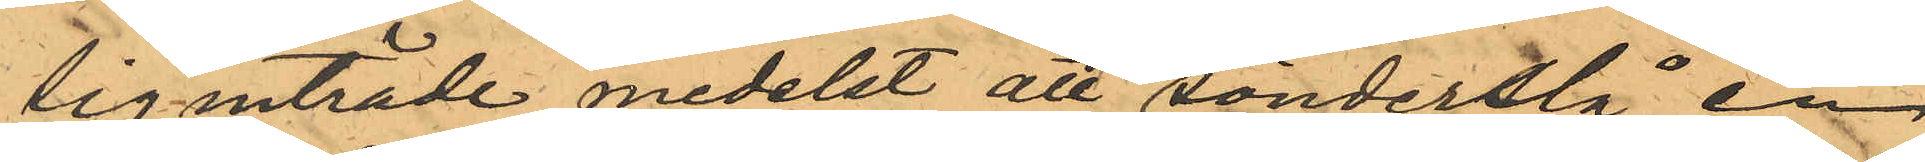sig inträde medelst att sönderslå en
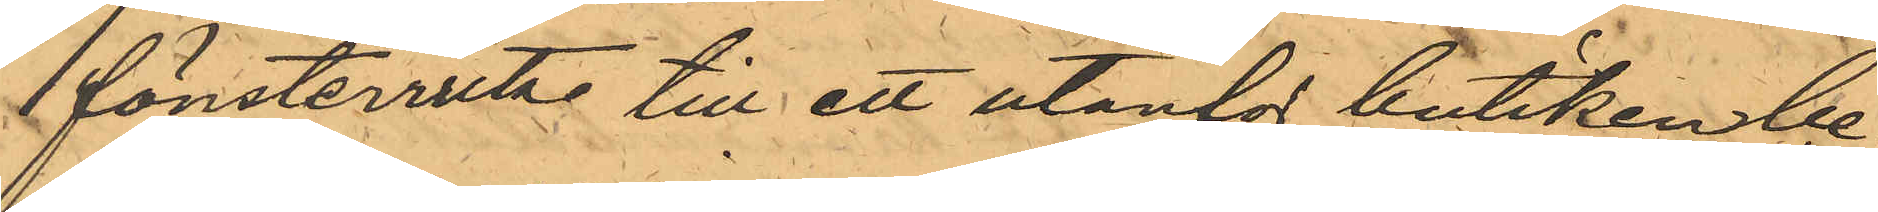fönsterruta till ett utanför butiken be¬
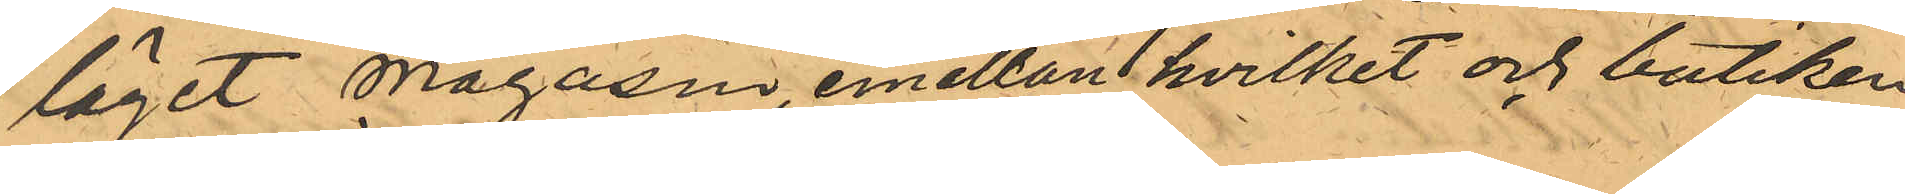läget Magasin, emellan hvilket och butiken
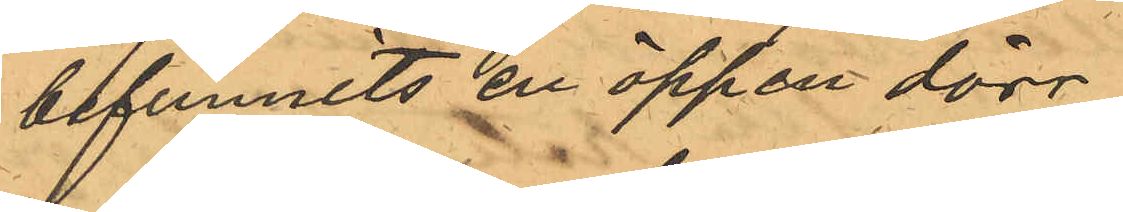befunnits en öppen dörr.
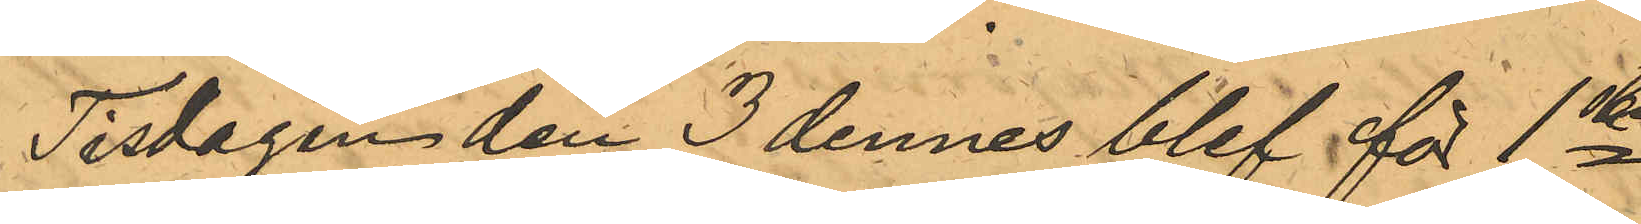Tisdagen den 3 dennes blef för 1sta
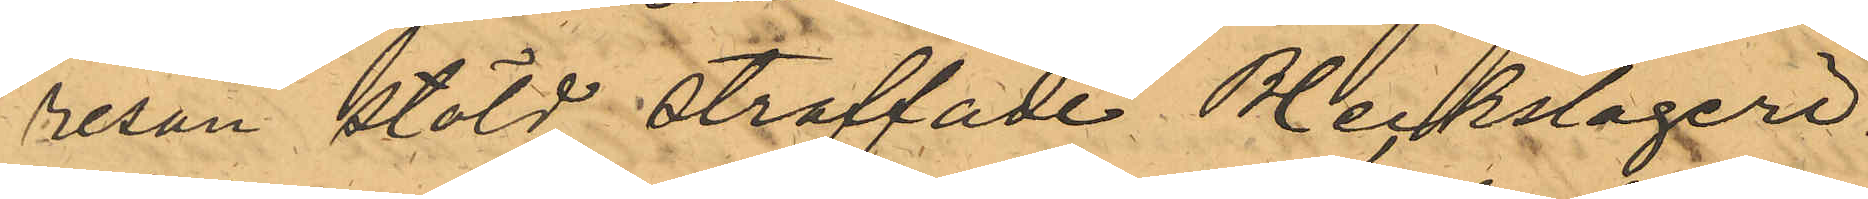resan stöld straffade Bleckslageri¬
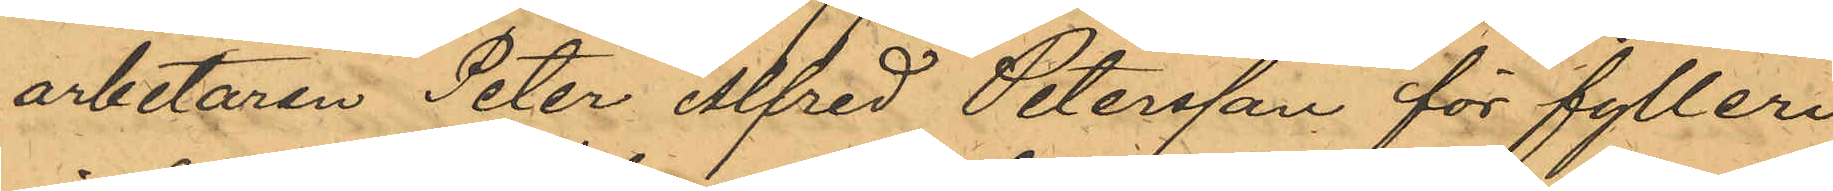arbetaren Peter Alfred Petersson för fylleri
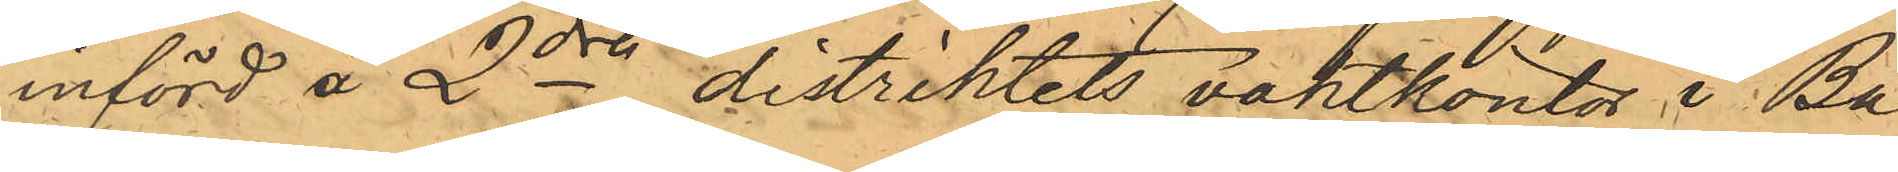införd å 2dra distriktets vaktkontor i Ba¬
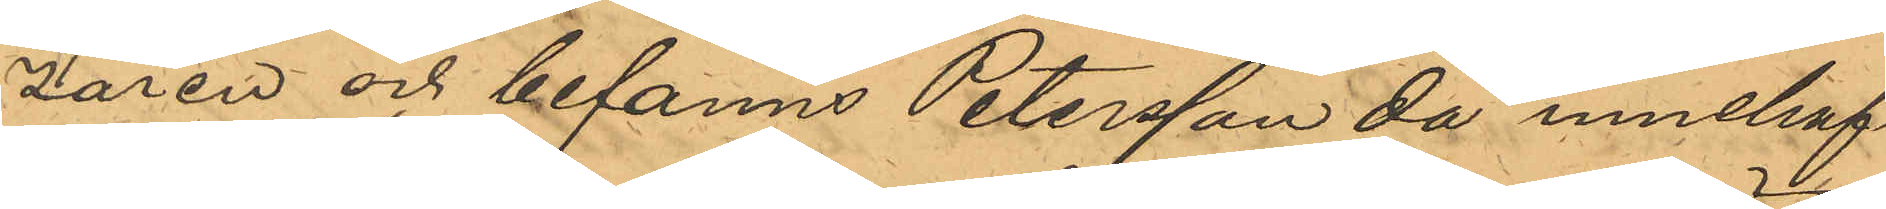zaren och befanns Petersson då innehaf¬
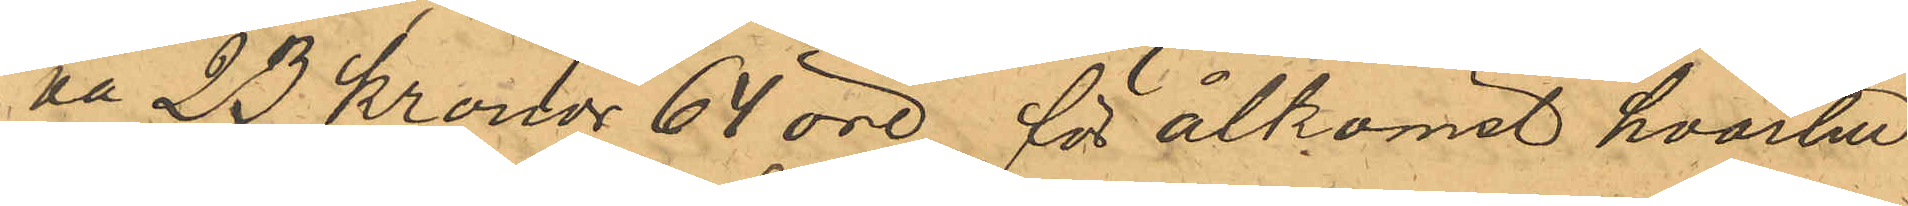va 23 kronor 64 öre för åtkomst hvartill
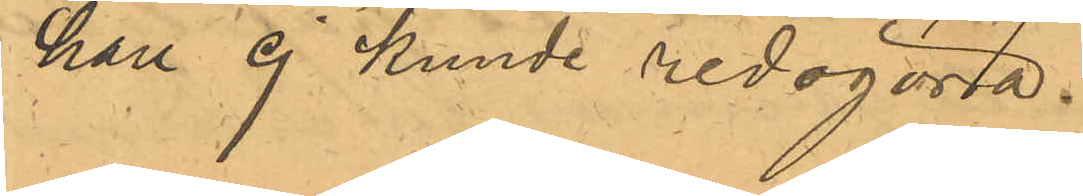han ej kunde redogöra.
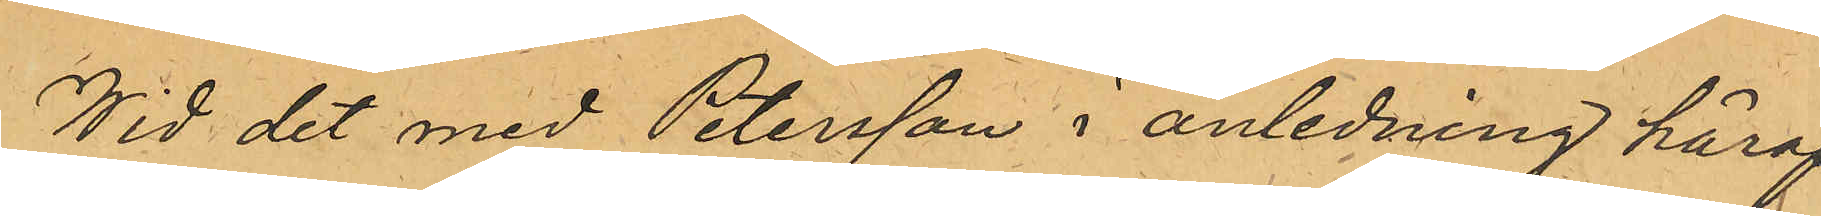Wid det med Petersson i anledning häraf
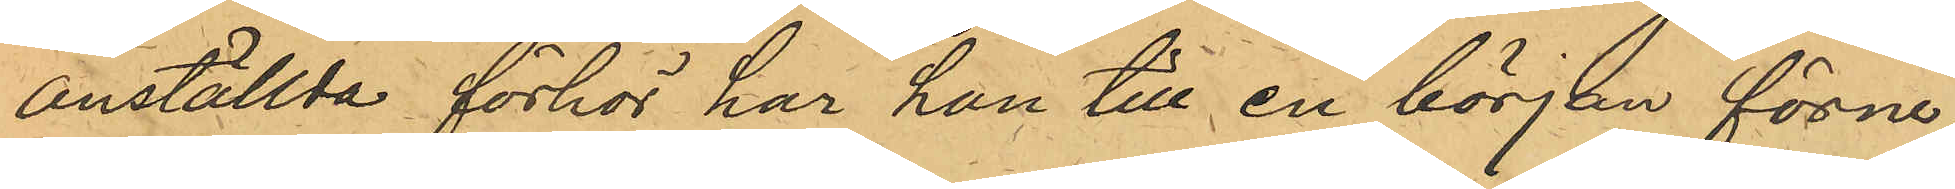anställda förhör har han till en början förne¬
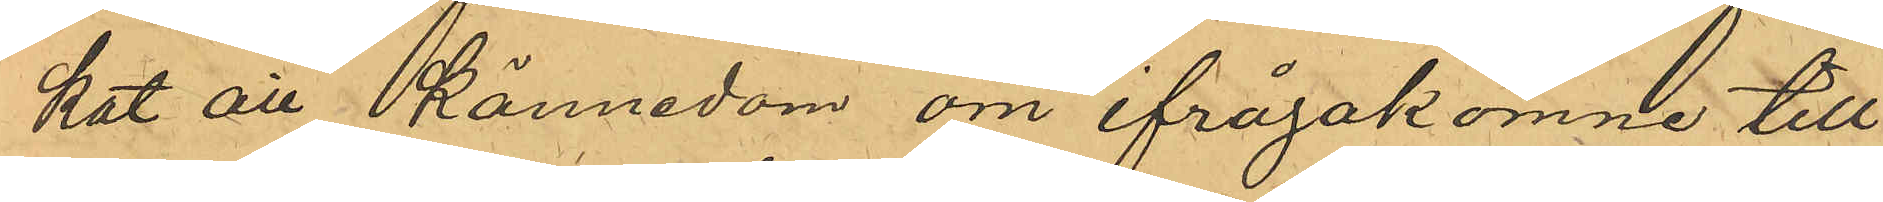kat all kännedom om ifrågakomne till¬
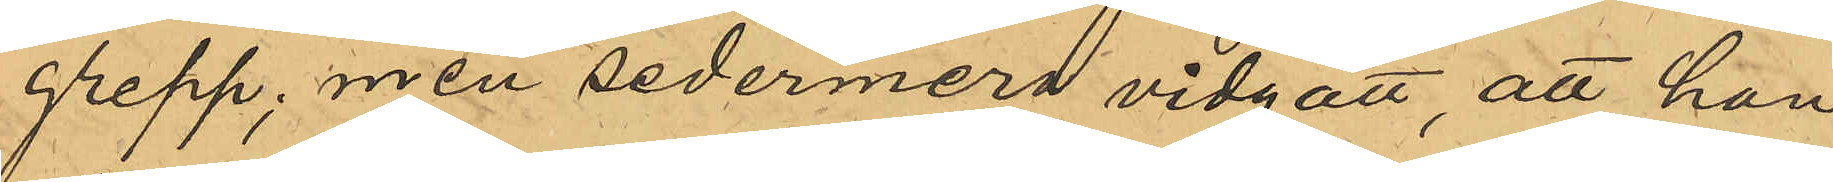grepp; men sedermera vidgått, att han
